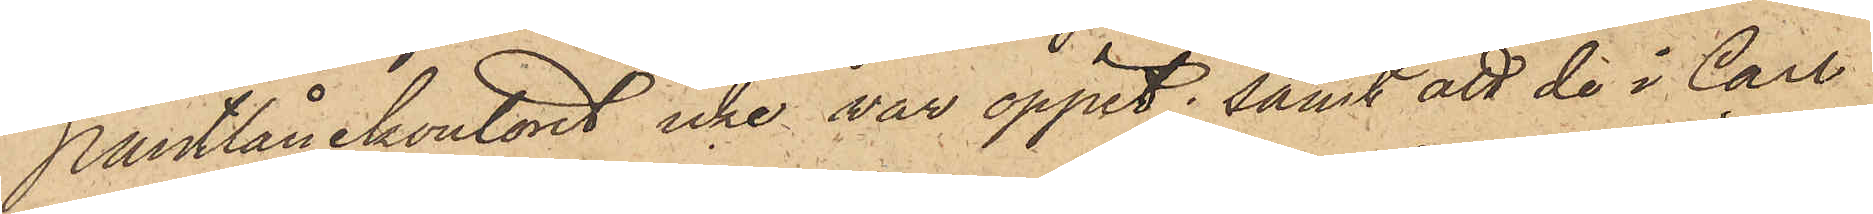Pantlånekontoret icke var öppet; samt att de i Carl
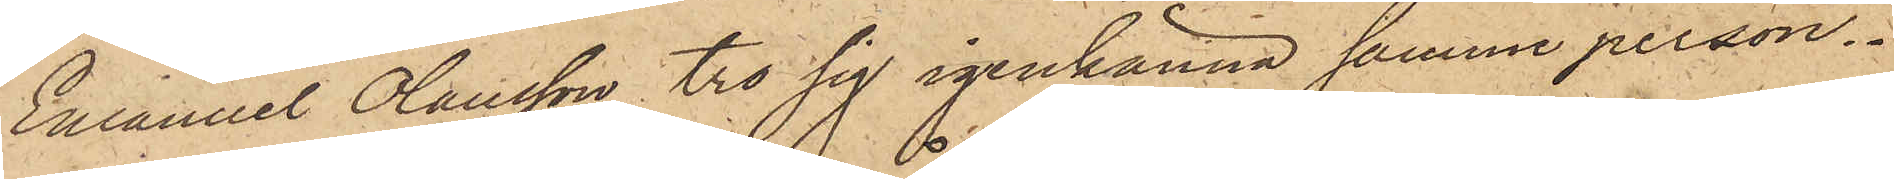Emanuel Olausson tro sig igenkänna samme person.
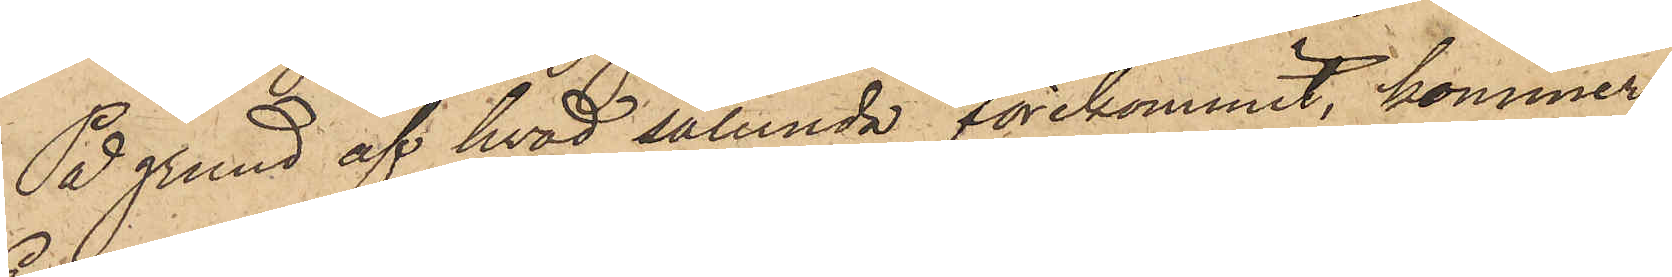På grund af hvad sålunda förekommit, kommer
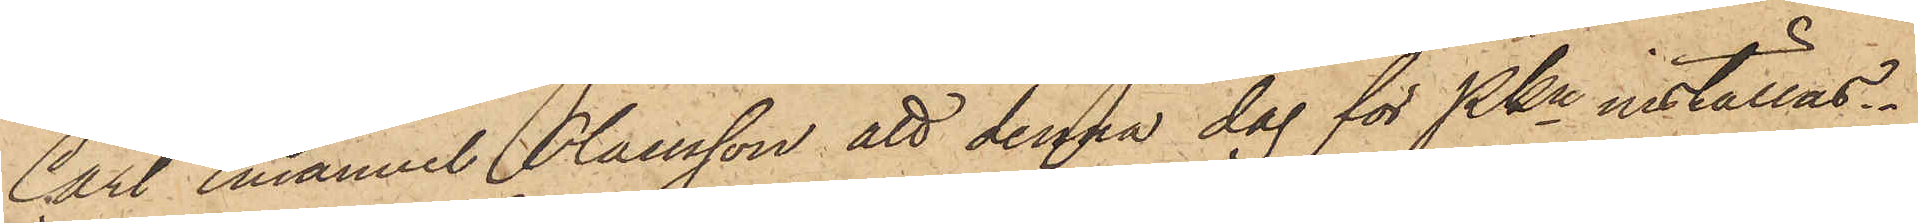Carl Emanuel Olausson att denna dag för PKn inställas.
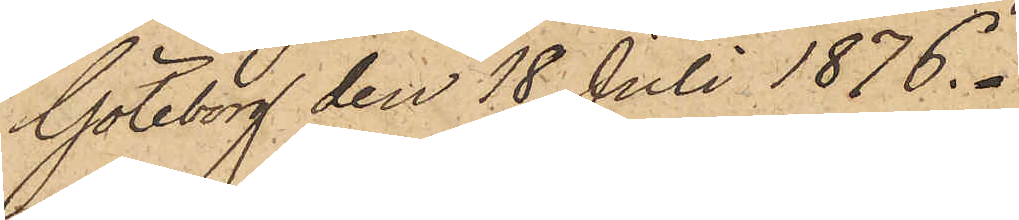Göteborg den 18 Juli 1876.
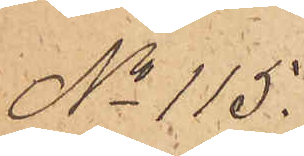No 115.
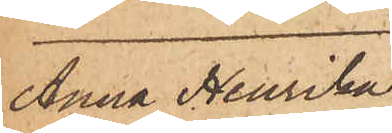Anna Henrika
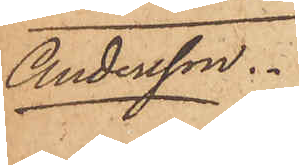Andersson.
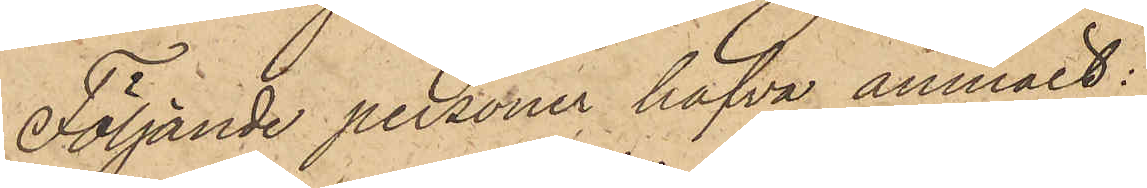Följande personer hafva anmält:
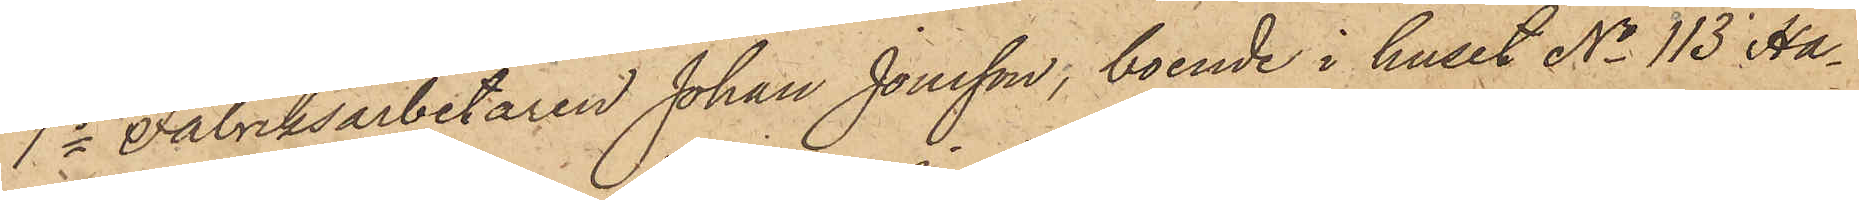1o Fabriksarbetaren Johan Jonsson, boende i huset No 113 i Ha¬
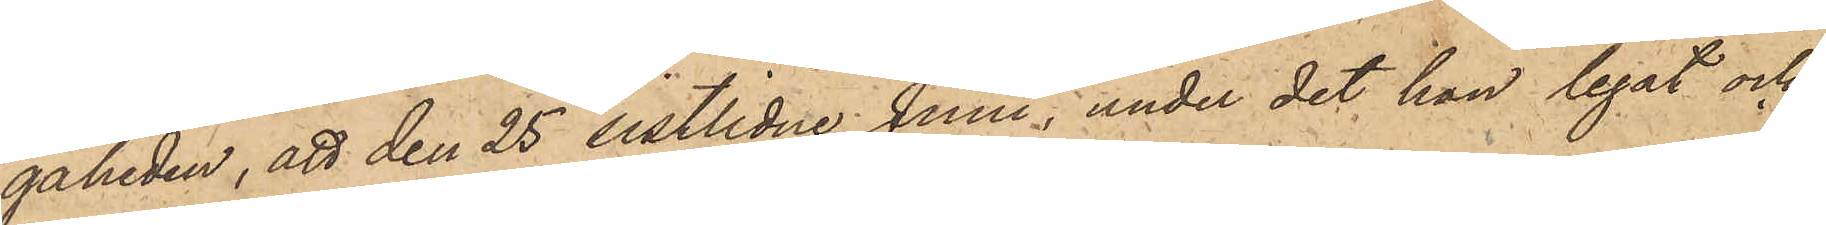gaheden, att den 25 sistlidne Juni, under det han legat och
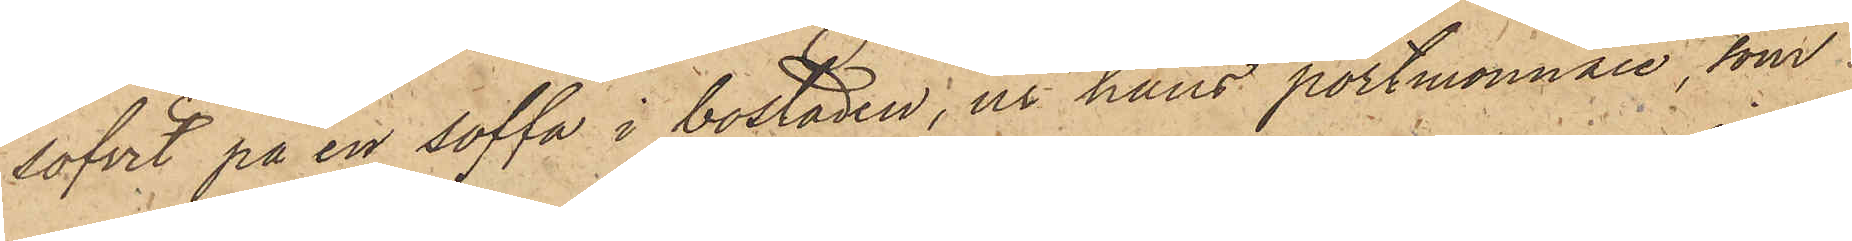sofvit på en soffa i bostaden, ur hans portmonnaie, som
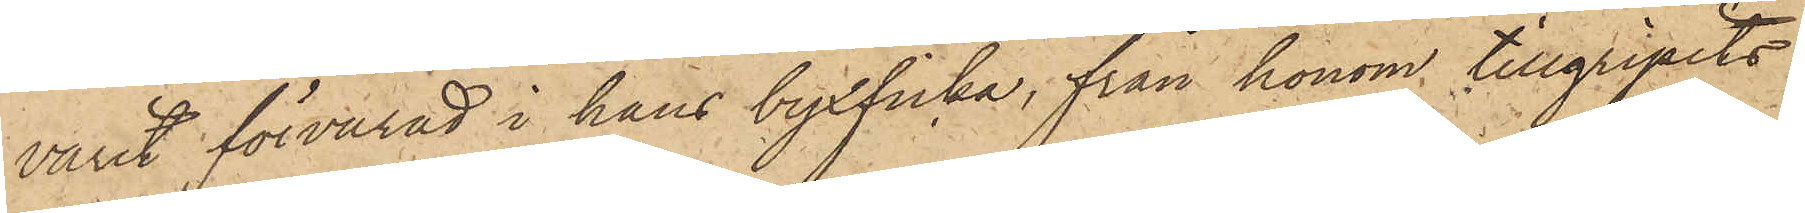varit förvarad i hans byxficka, från honom tillgripits
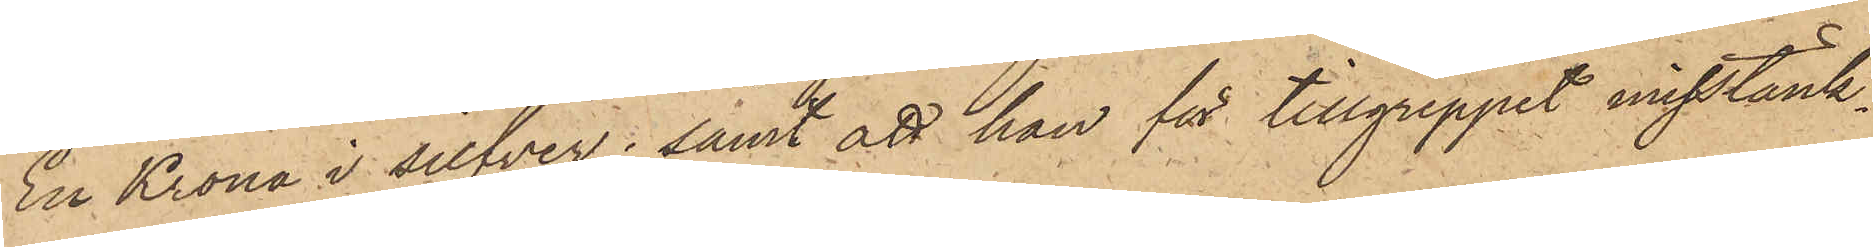En Krona i silfver; samt att han för tillgreppet misstänk¬
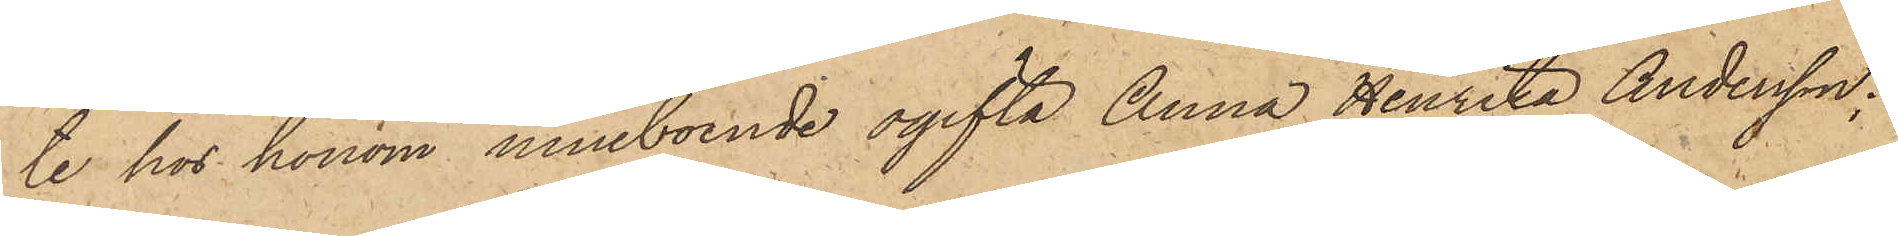te hos honom inneboende ogifta Anna Henrika Andersson:
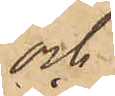och
